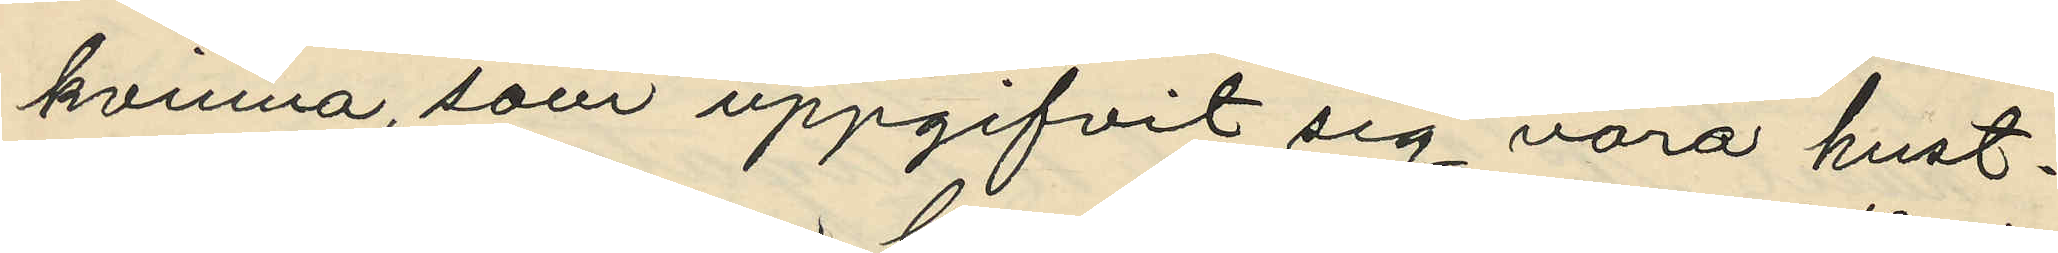kvinna, som uppgifvit sig vara hust¬
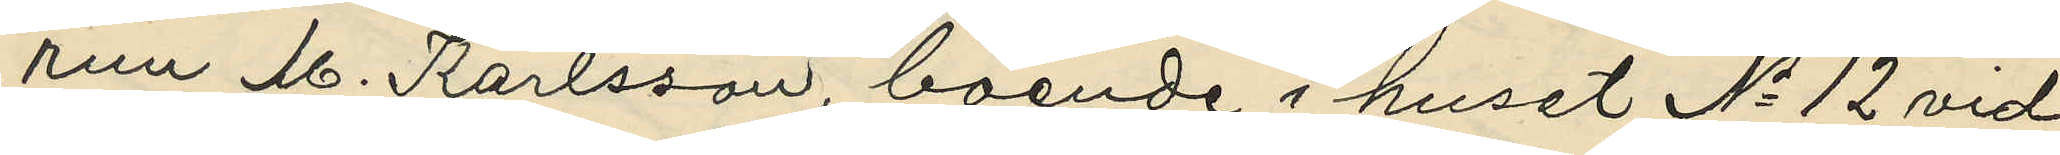run M. Karlsson, boende i huset No 12 vid
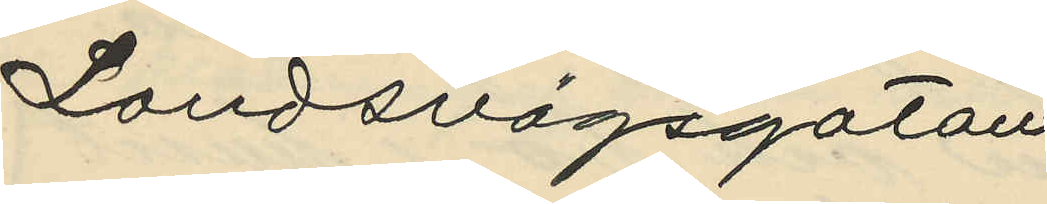Landsvägsgatan
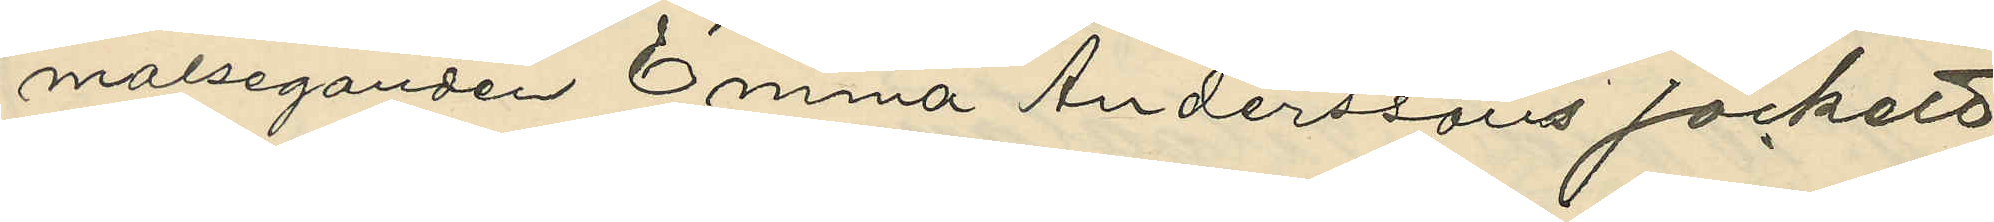malseganden Emma Anderssons jackett
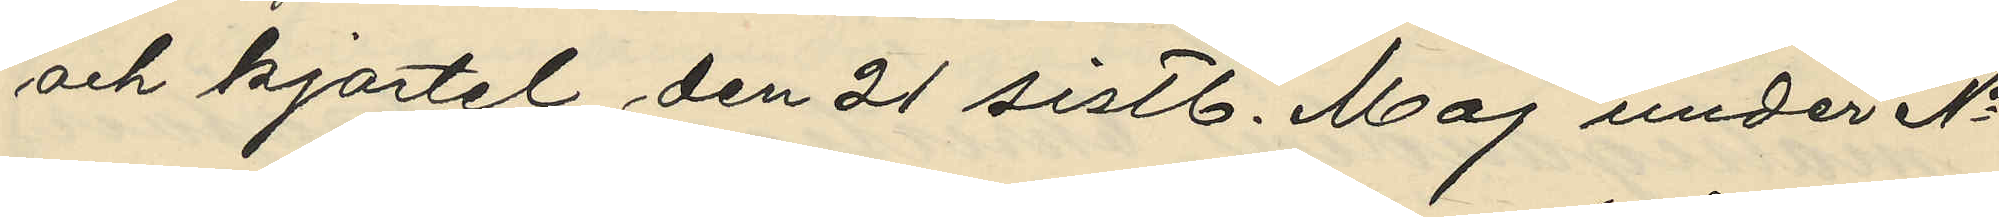och kjortel den 21 sistl. Maj under No
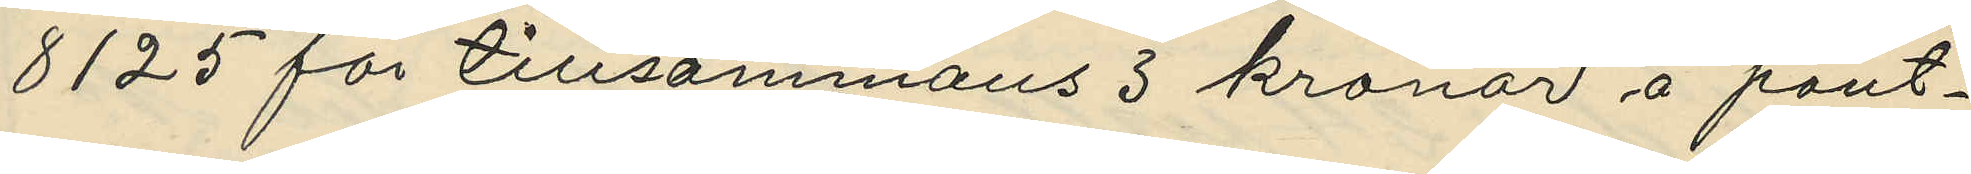8125 för tillsammans 3 kronor å pant¬
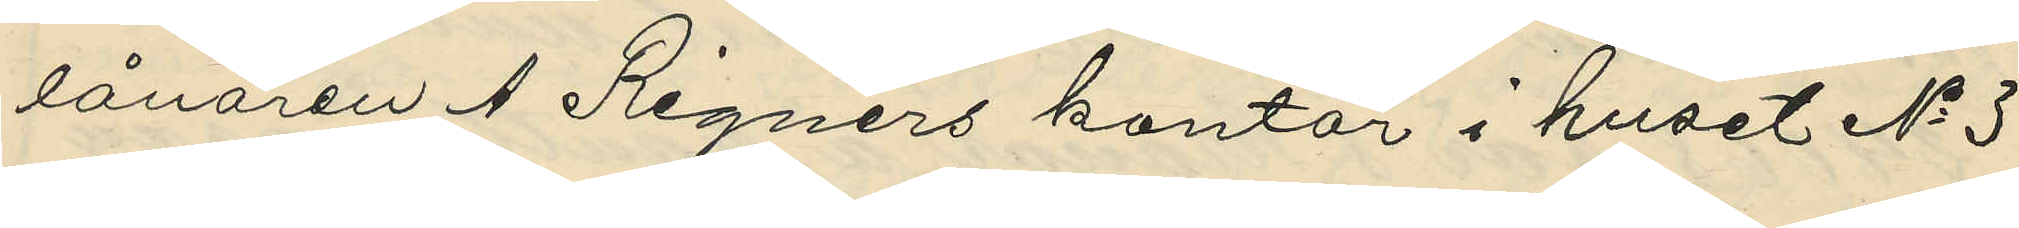lånaren A. Rignérs kontor i huset No 3
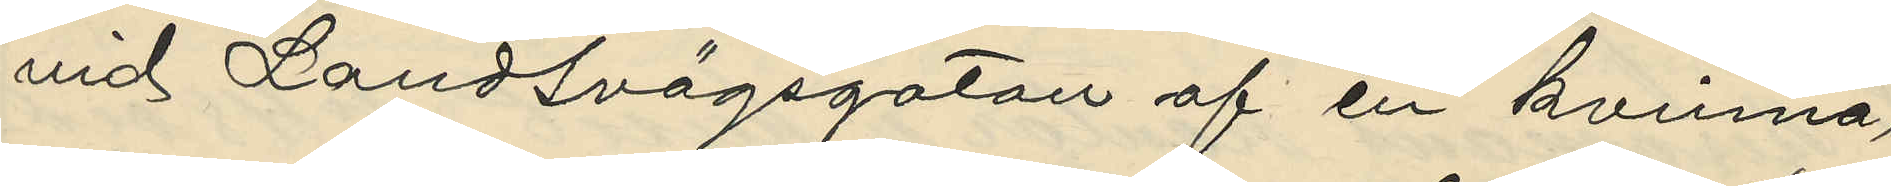vid Landsvägsgatan af en kvinna,
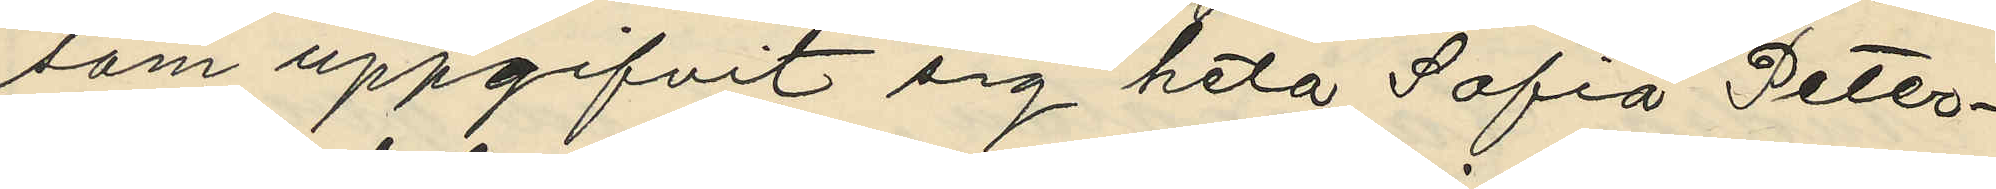som uppgifvit sig heta Sofia Peter¬
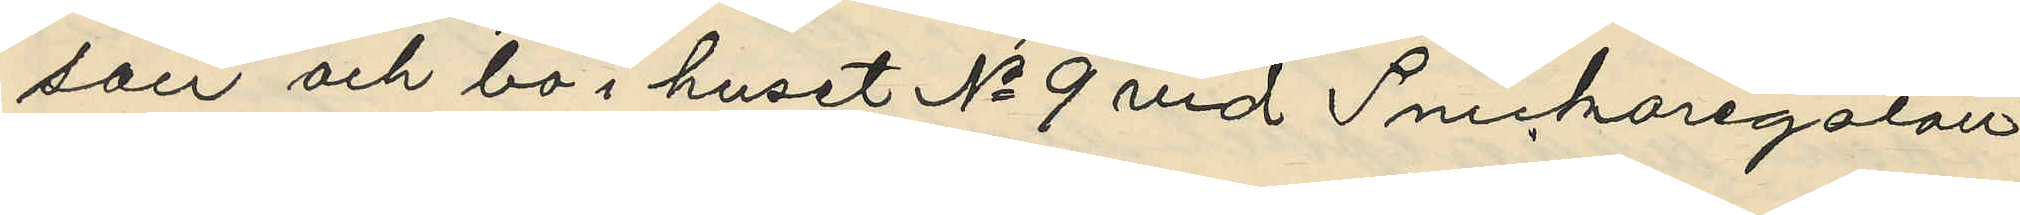son och bo i huset No 9 vid Snickaregatan
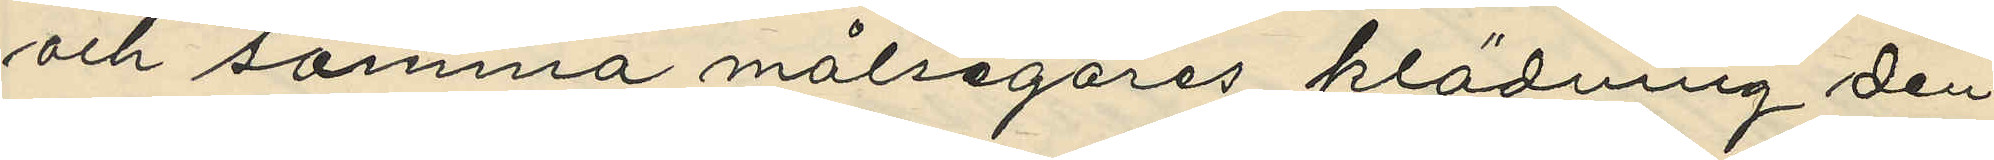och samma målsegares klädning den
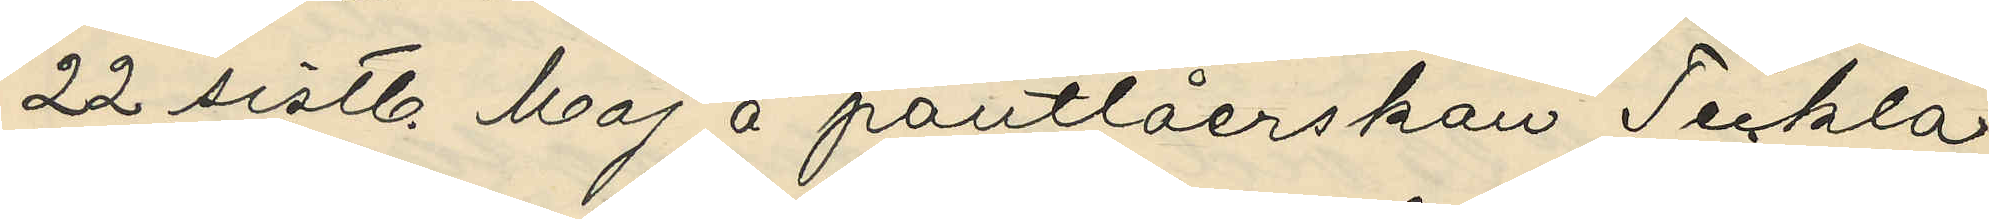22 sistl. Maj å pantlåerskan Teckla
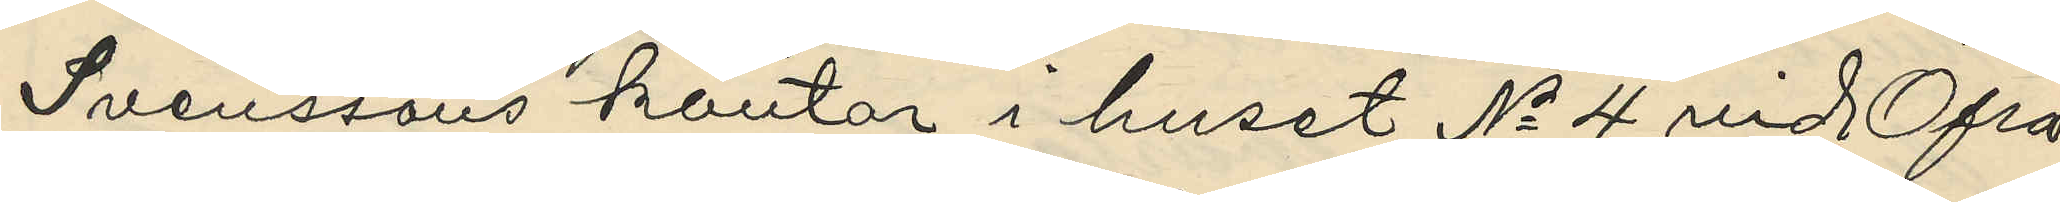Svenssons kontor i huset No 4 vid Öfra
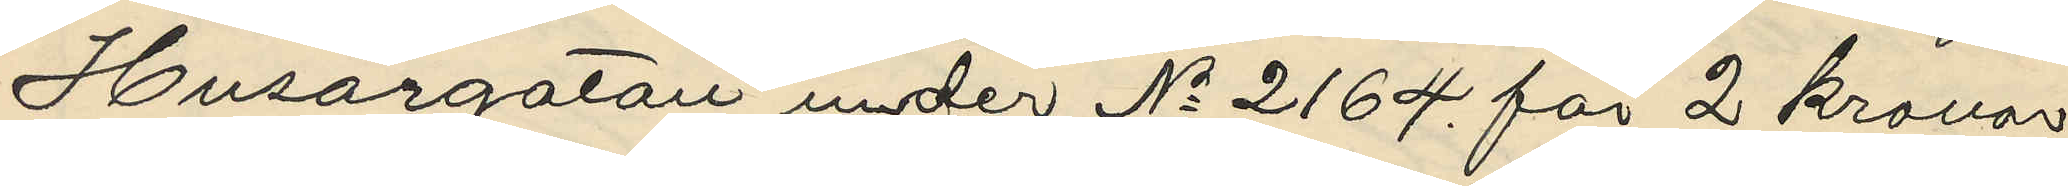Husargatan under No 2164 för 2 kronor
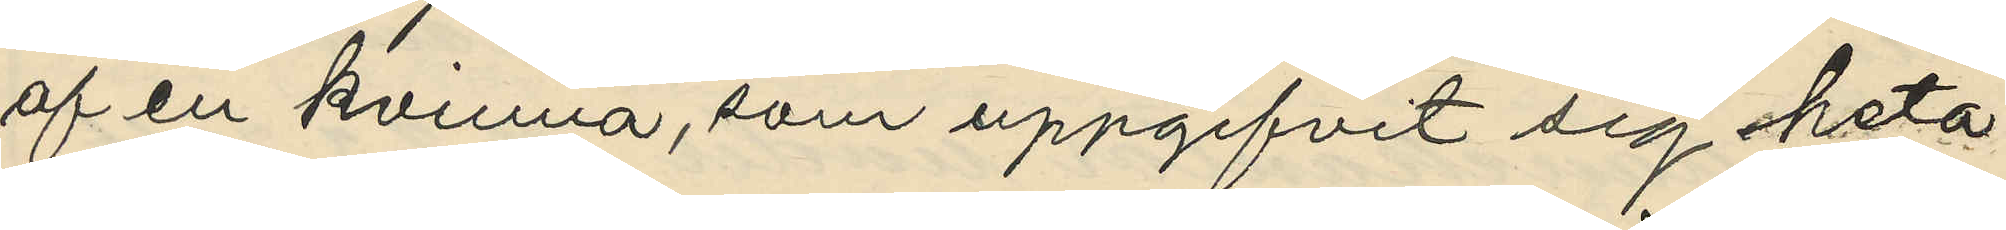af en kvinna, som uppgifvit sig heta
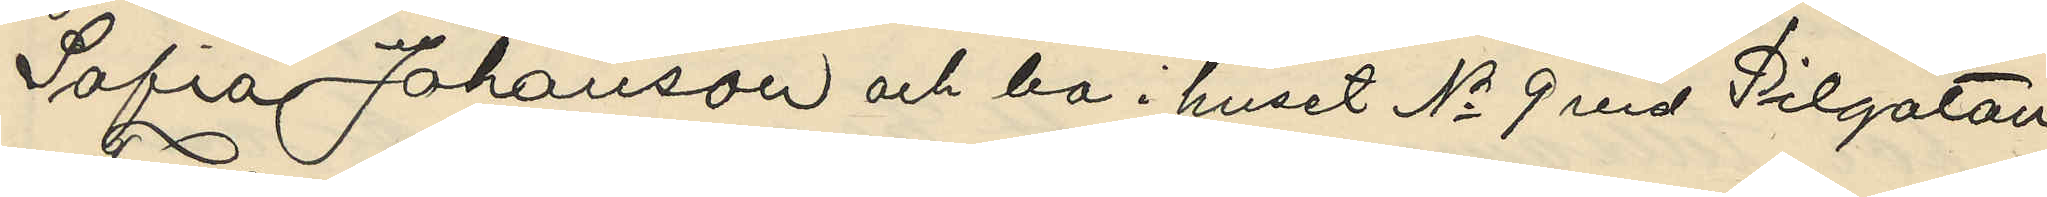Sofia Johanson och bo i huset No 9 vid Pilgatan
